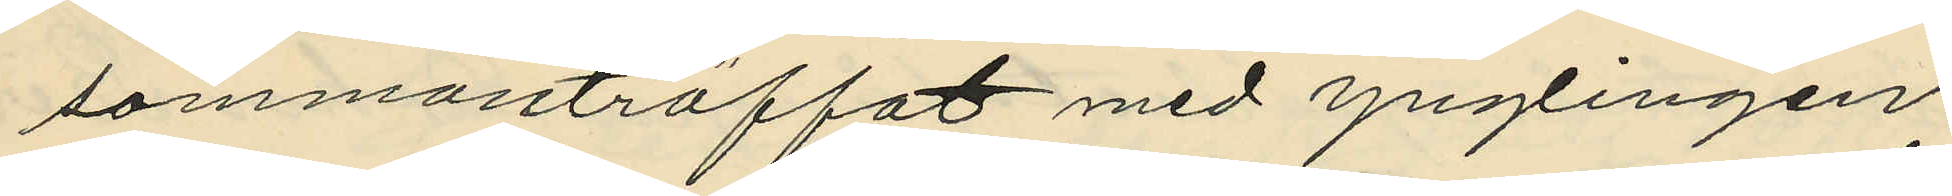sammanträffat med ynglingen
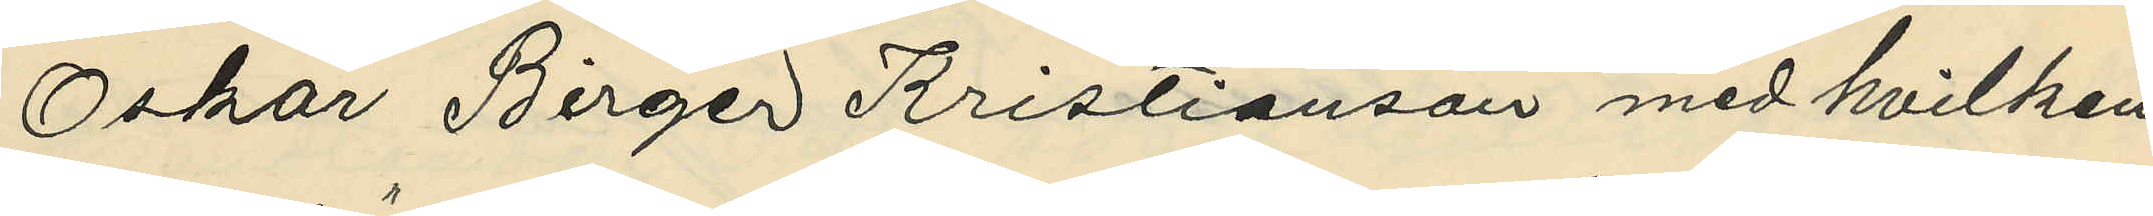Oskar Birger Kristianson med hvilken
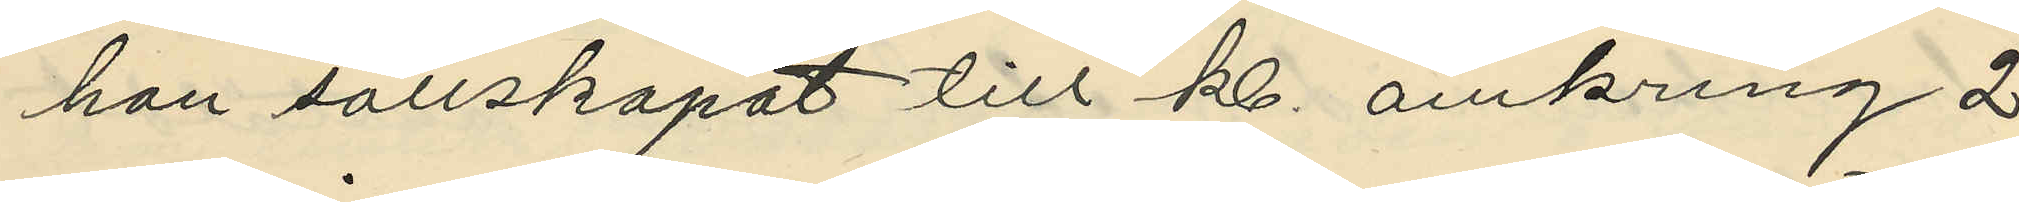han sällskapat till kl. omkring 2
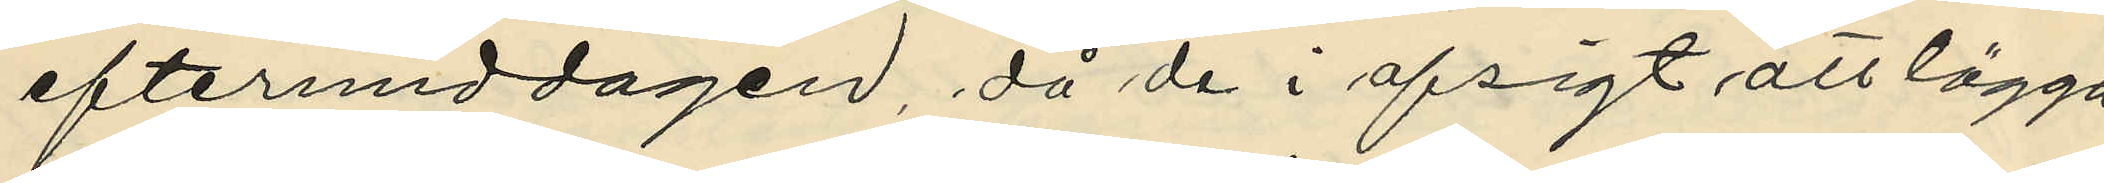eftermiddagen, då de i afsigt all lägga
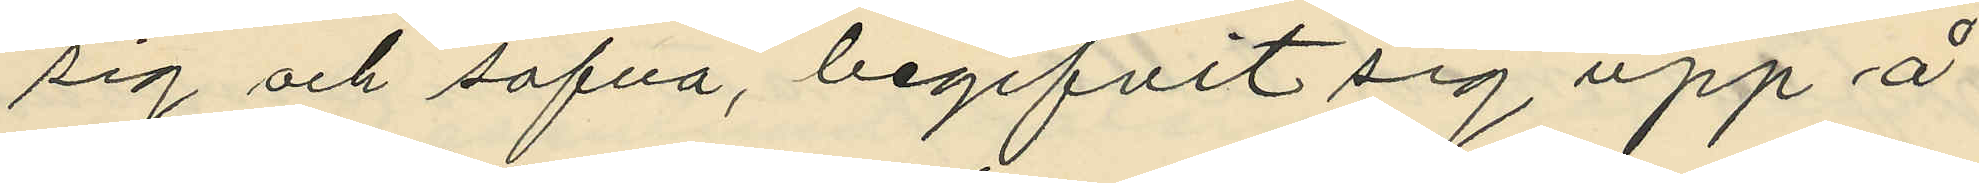sig och sofva, begifvit sig upp å
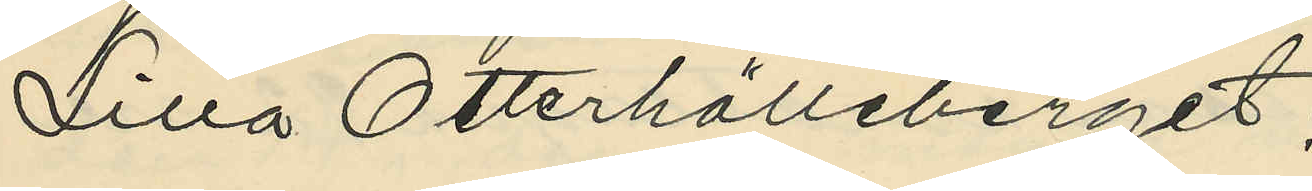Lilla Otterhälleberget;
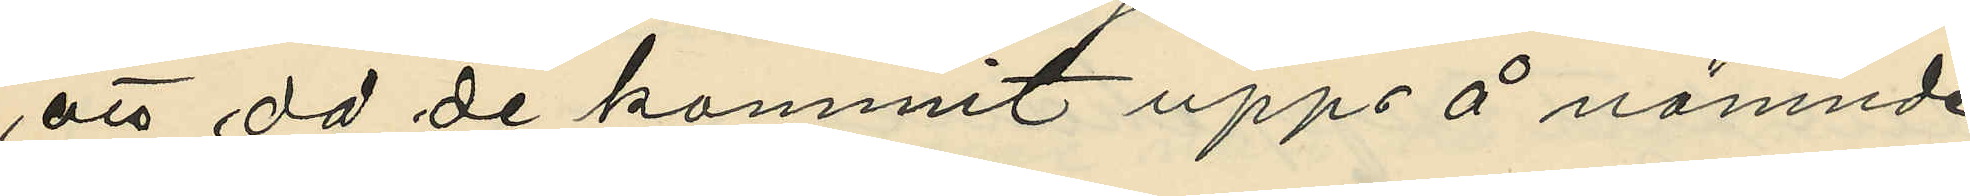att då de kommit upp å nämnde
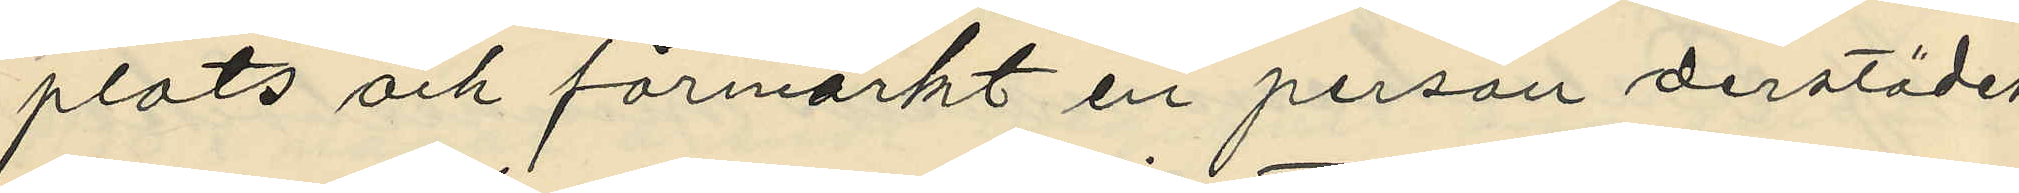plats och förmärkt en person derstädes
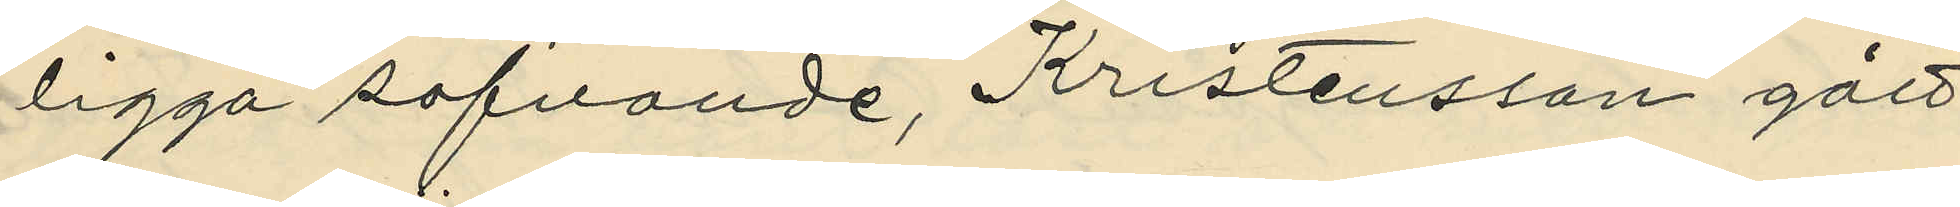ligga sofvande, Kristensson gått
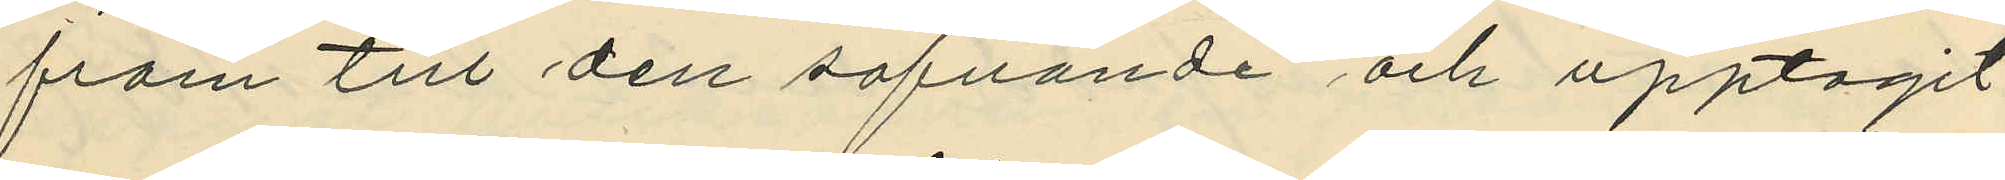fram till den sofvande och upptagit
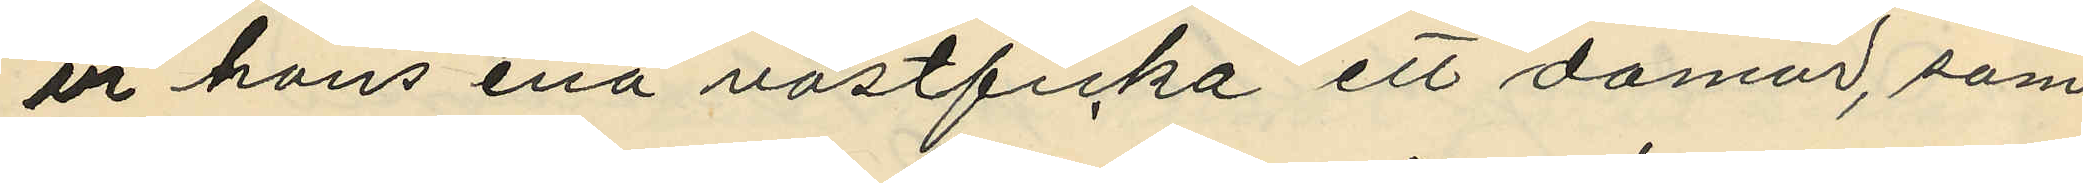ur hans ena västficka ett damur, som
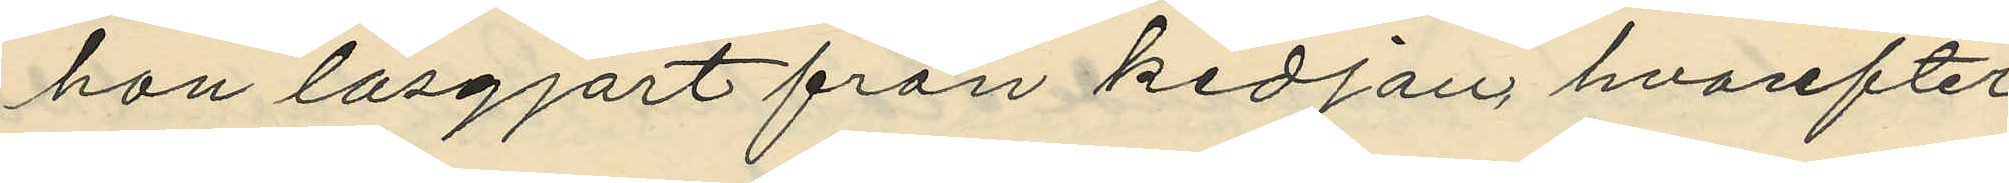han lösgjort från kedjan, hvarefter
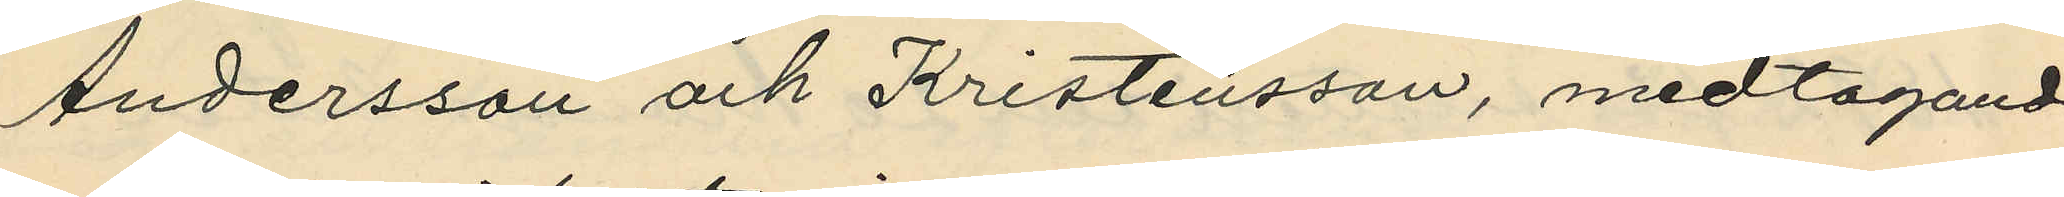Andersson och Kristensson, medtagande
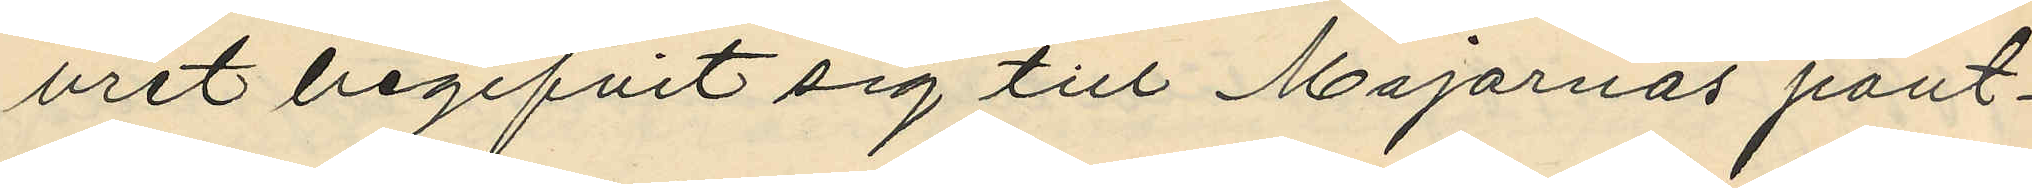uret begifvit sig till Majornas pant¬
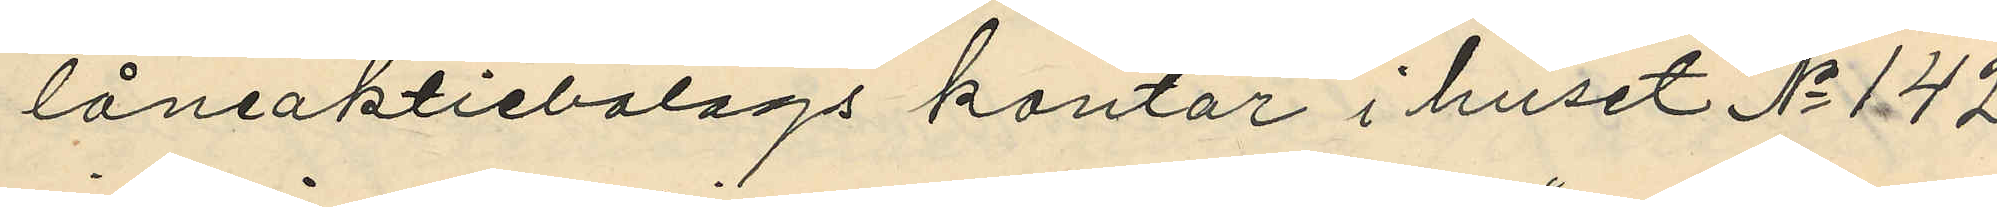låneaktiebolags kontor i huset No 142
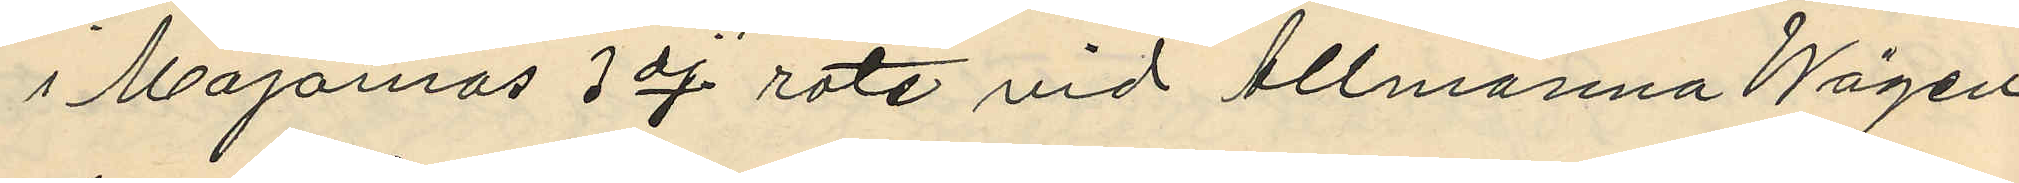i Majornas 3dj. rote vid Allmänna Wägen
